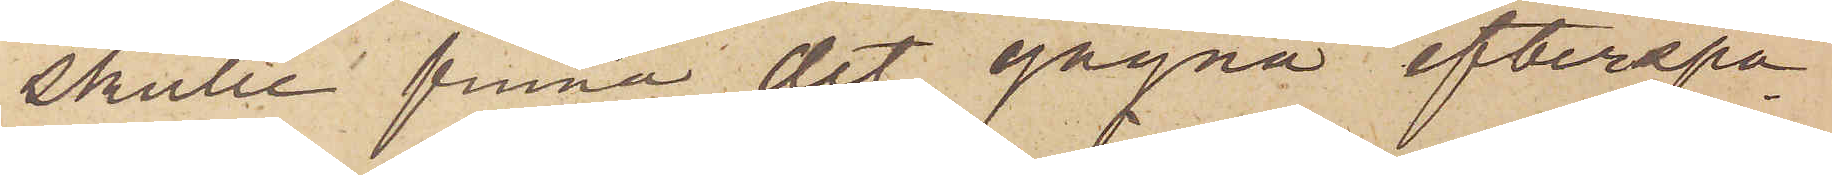skulle finna det gagna efterspa¬
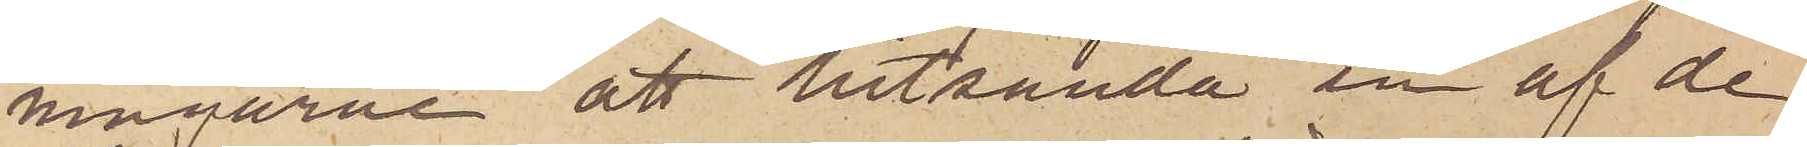ningarne att hitsända en af de
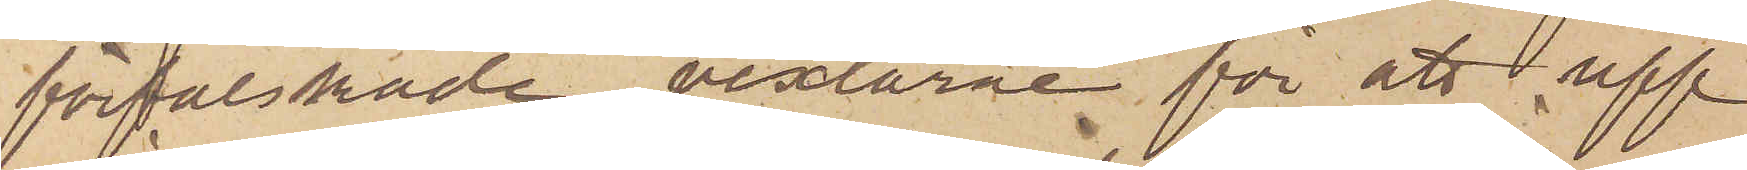förfalskade vexlarne för att upp¬
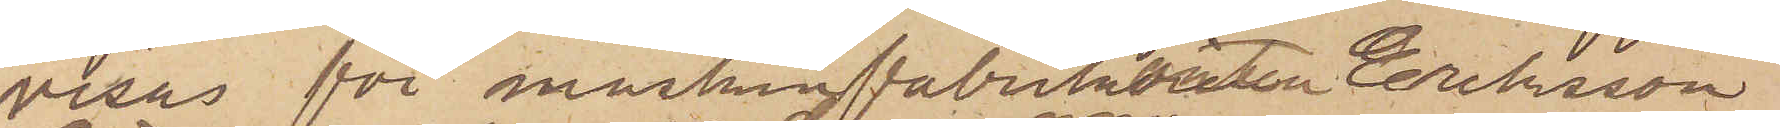visas för maskinfabrikören Eriksson
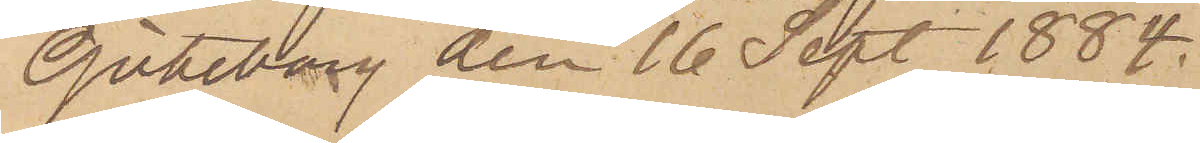Göteborg den 16 Sept. 1884.
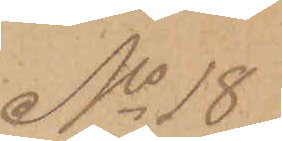No 18
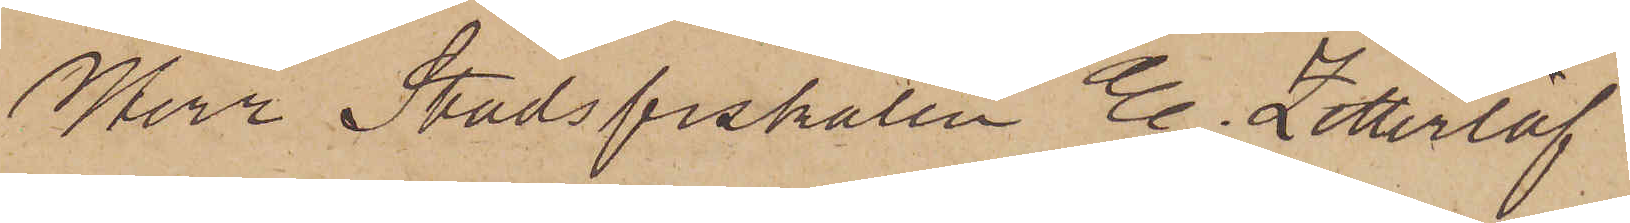Herr Stadsfiskalen E. Zetterlöf
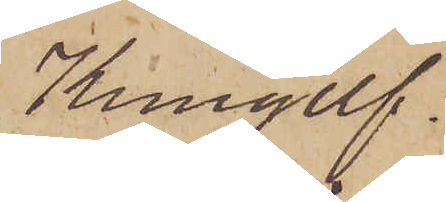Kungelf.
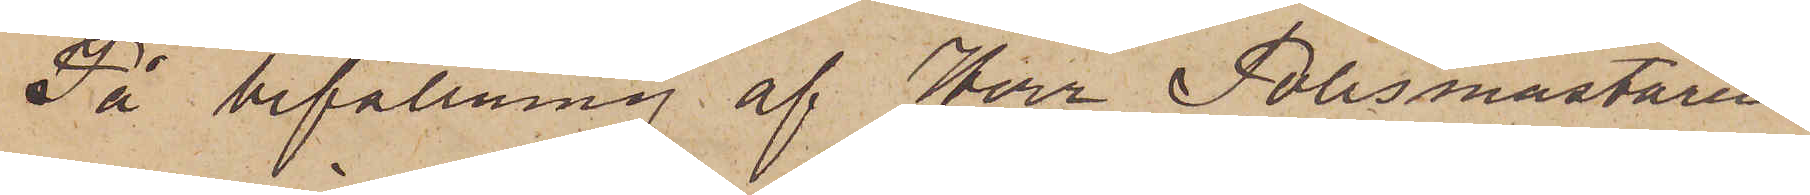På befallning af Herr Polismästaren,
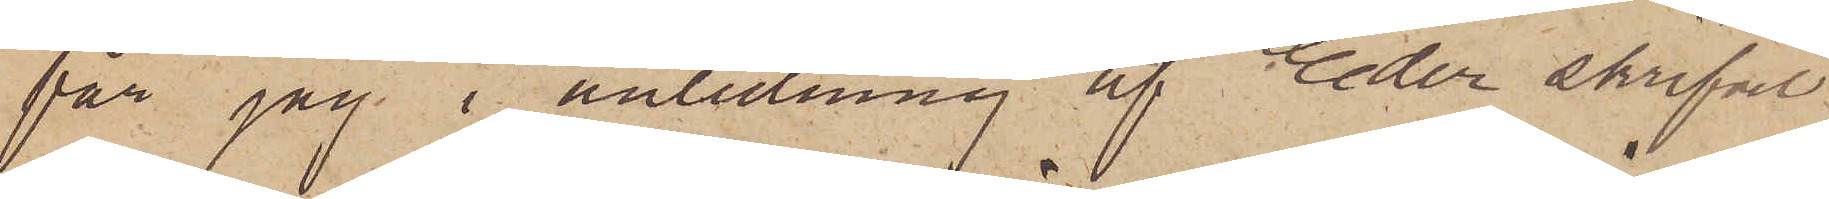får jag i anledning af Eder skrifvel¬
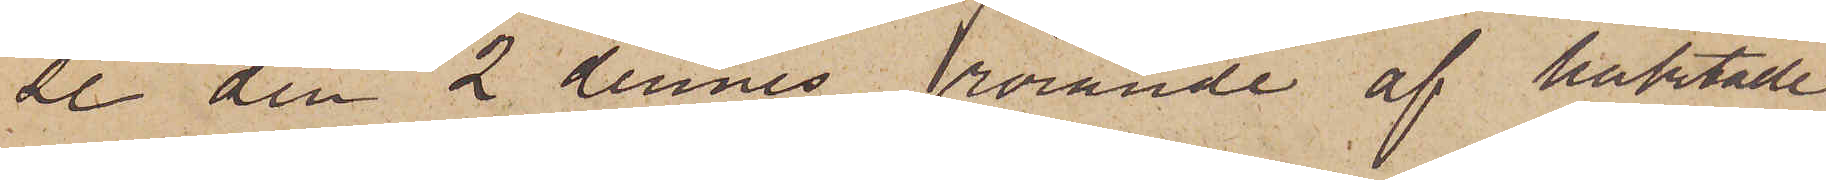se den 2 dennes rörande af häktade
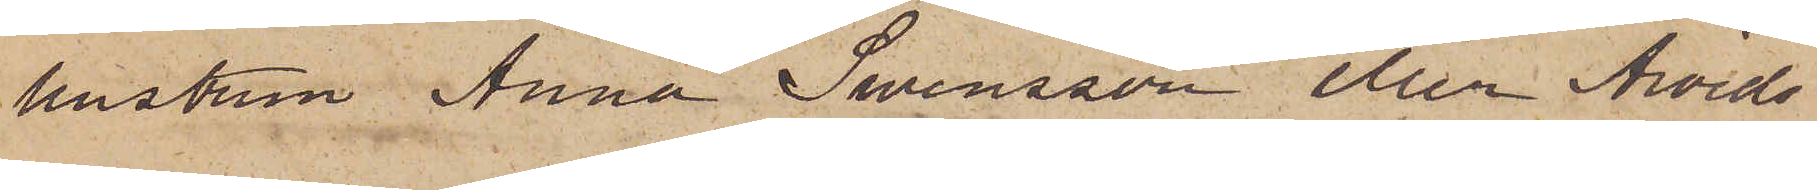hustrun Anna Swensson eller Arvids¬
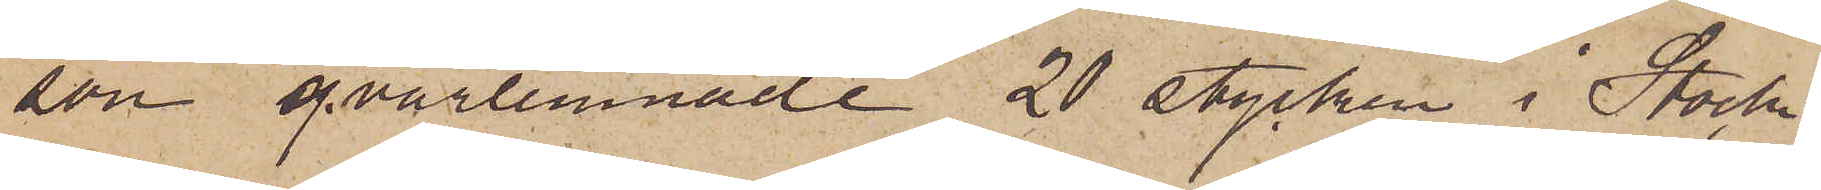son qvarlemnade 20 stycken i Stock¬
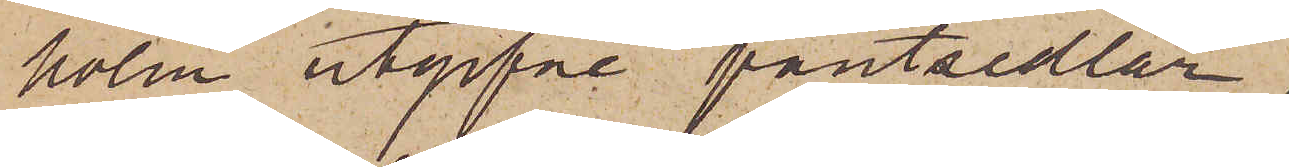holm utgifne pantsedlar,
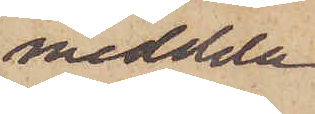meddela
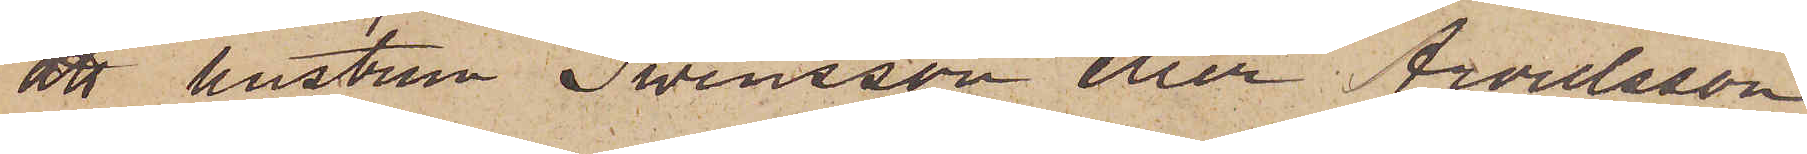att hustrun Swensson eller Arvidsson
